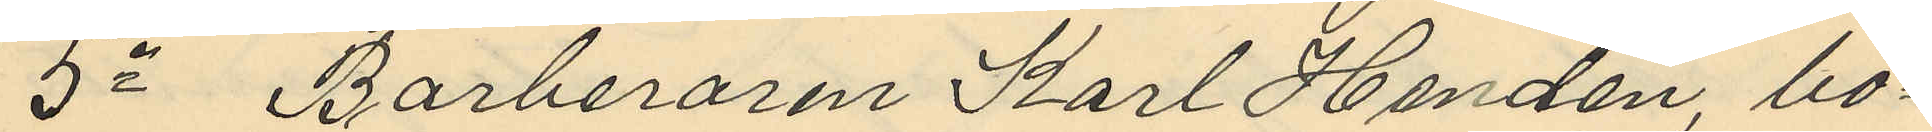5o Barberaren Karl Handén, bo¬
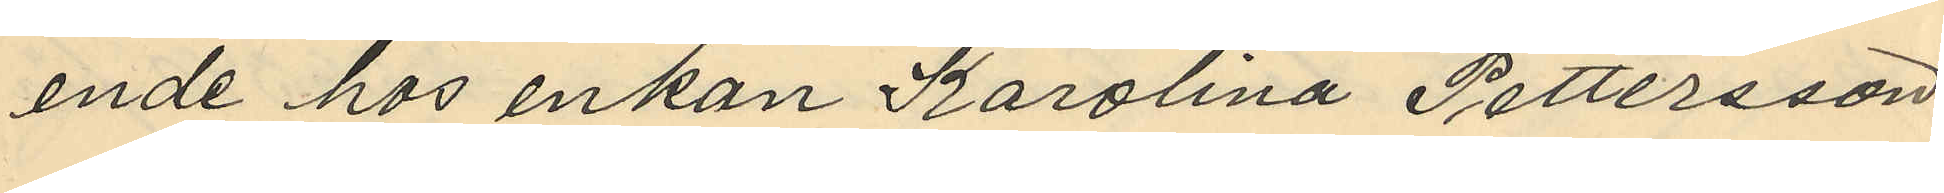ende hos enkan Karolina Pettersson
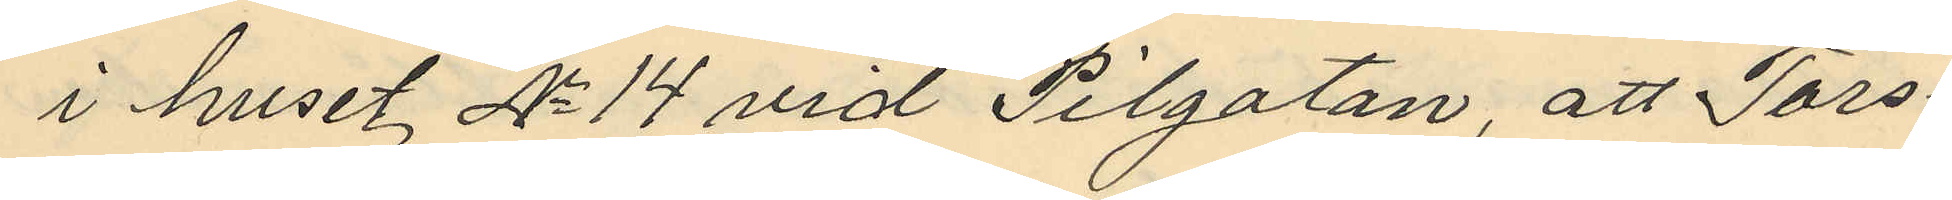i huset No 14 vid Pilgatan, att Tors¬
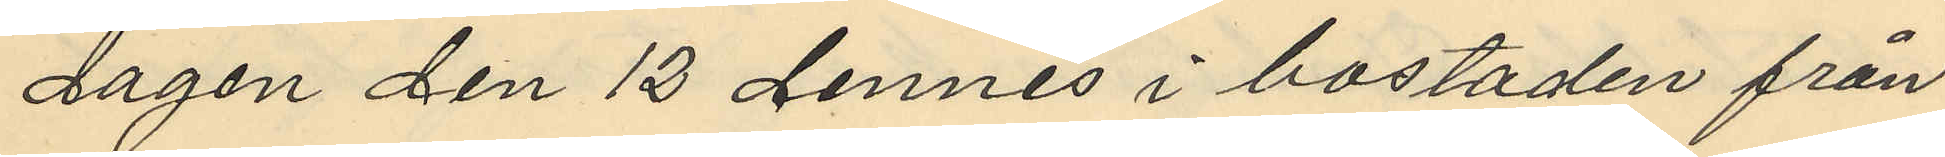dagen den 13 dennes i bostaden från
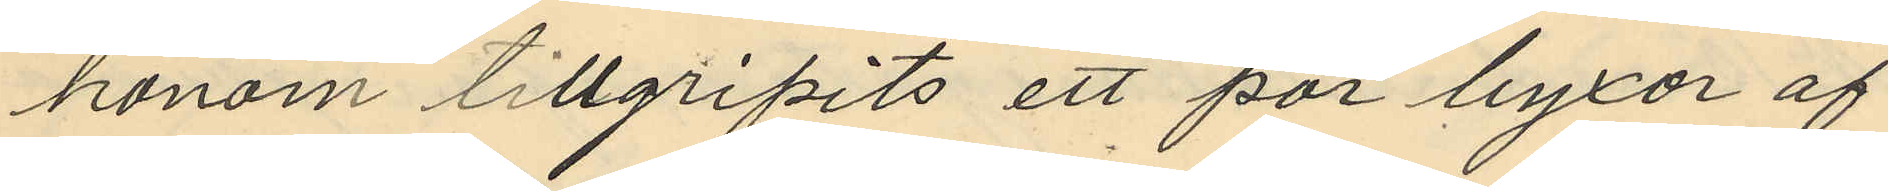honom tillgripits ett par byxor af
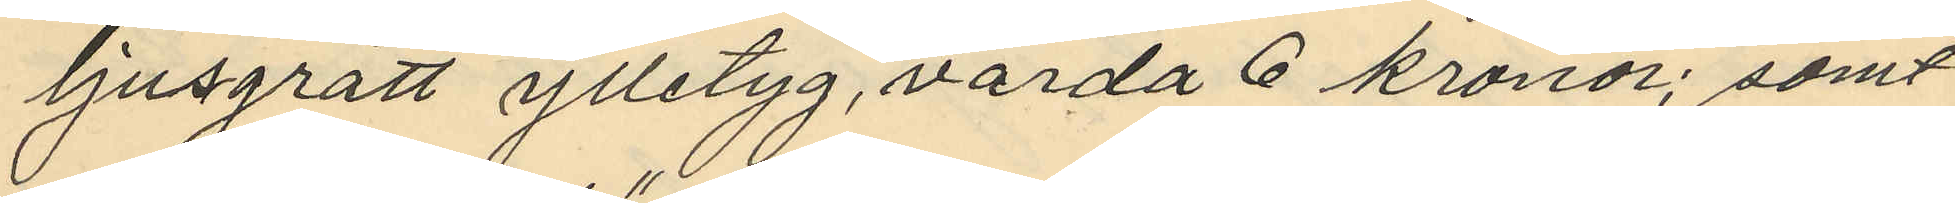ljusgrått ylletyg, värda 6 kronor; samt
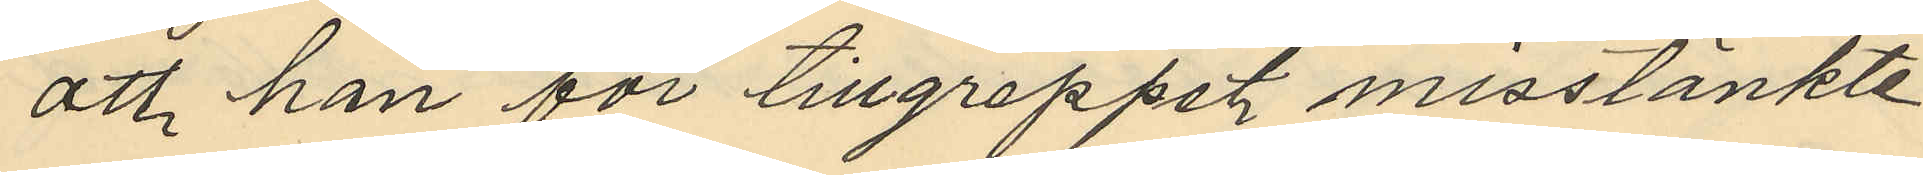att han för tillgreppet misstänkte
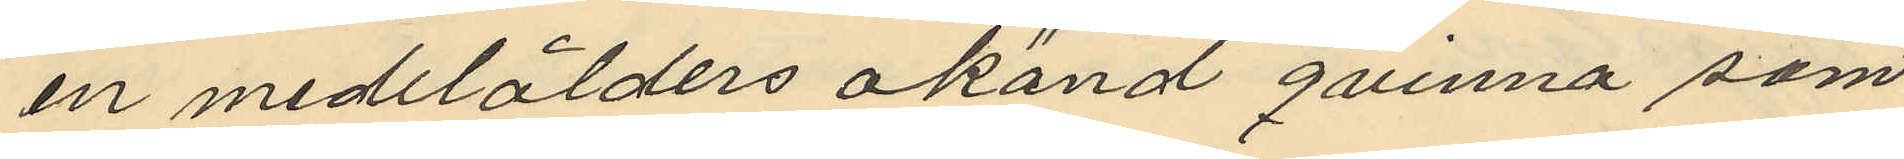en medelålders okänd qvinna som
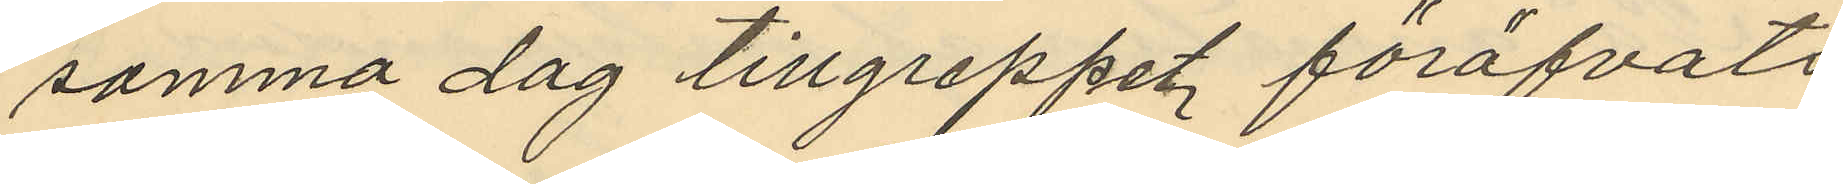samma dag tillgreppet föröfvats
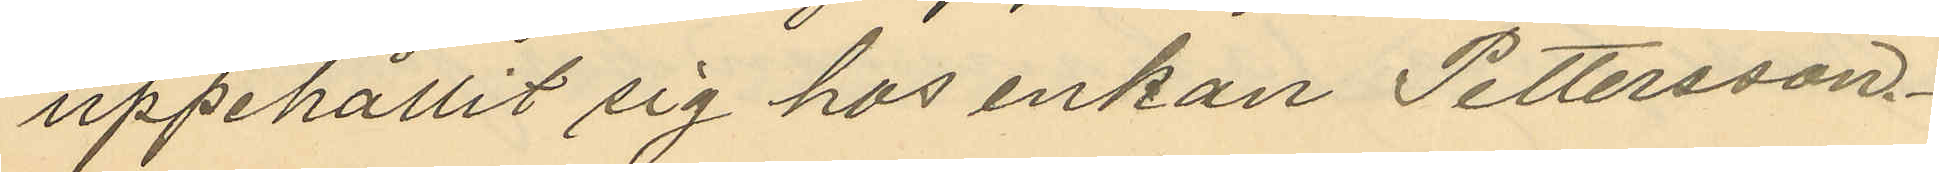uppehållit sig hos enkan Pettersson
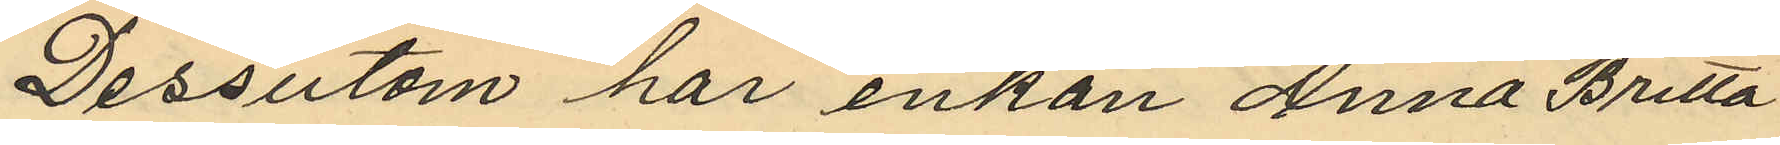Dessutom har enkan Anna Britta
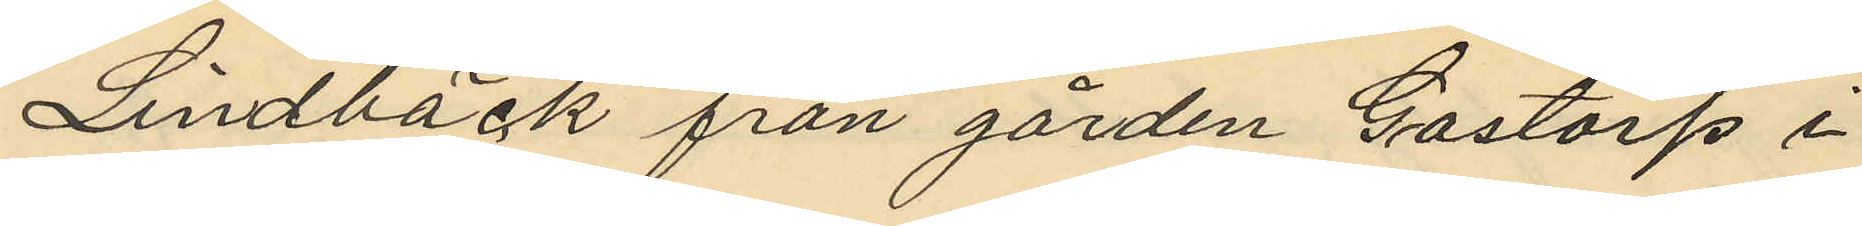Lindbäck från gården Gastorp i
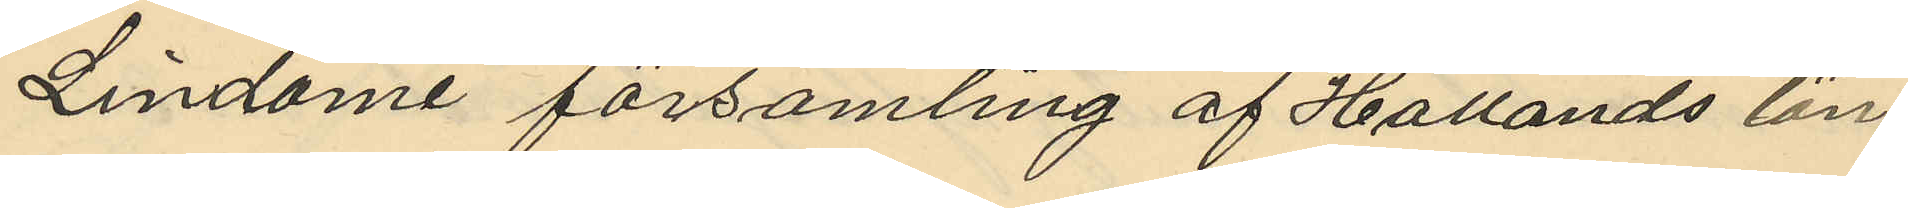Lindome församling af Hallands län
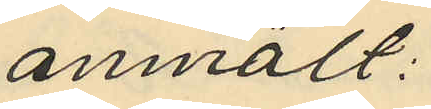anmält:
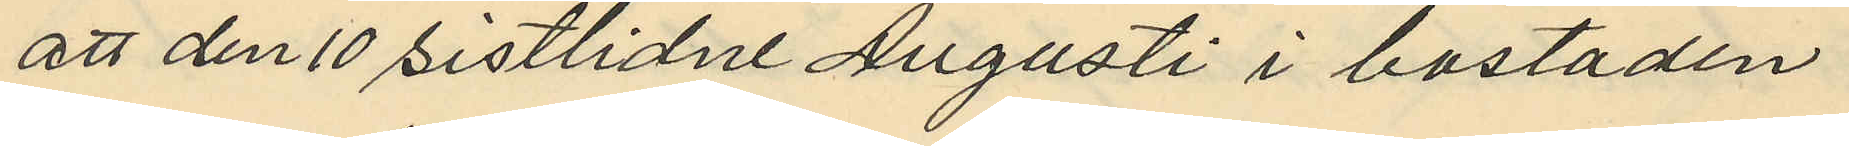att den 10 sistlidne Augusti i bostaden
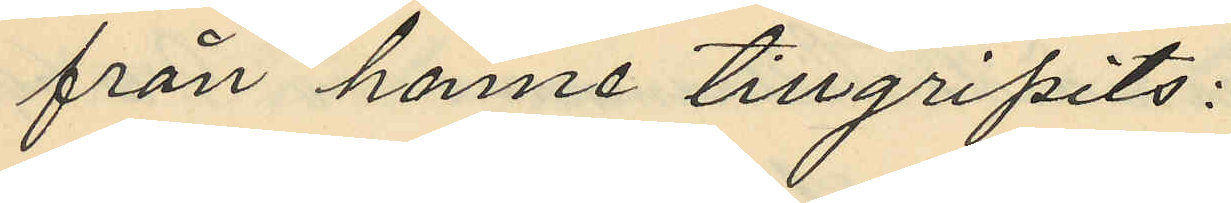från henne tillgripits:
